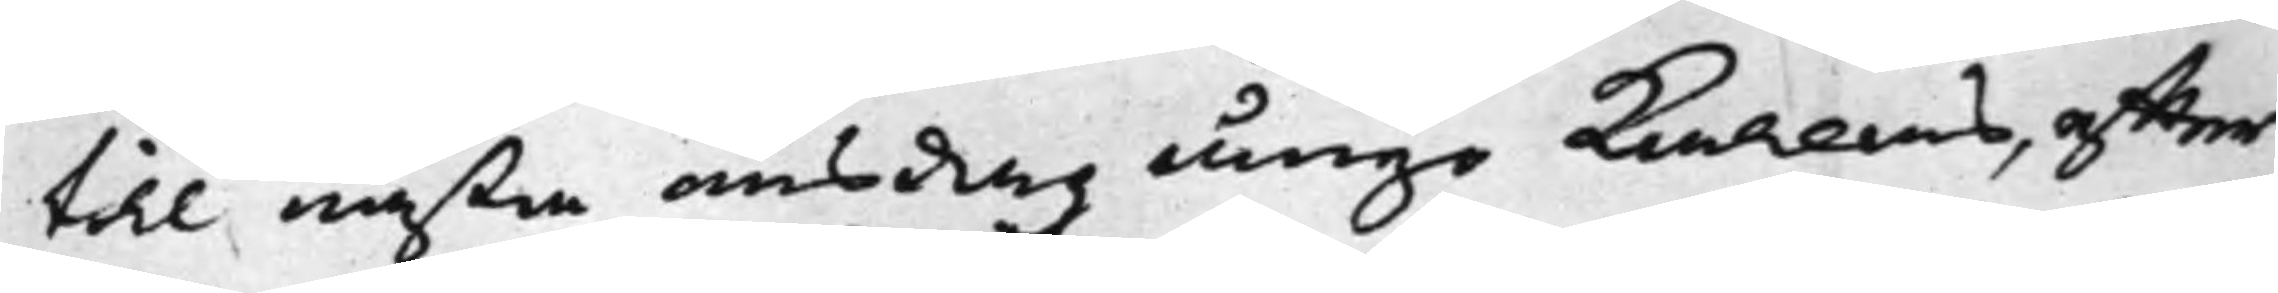till nästa onsdag ånyo Kallas, effter
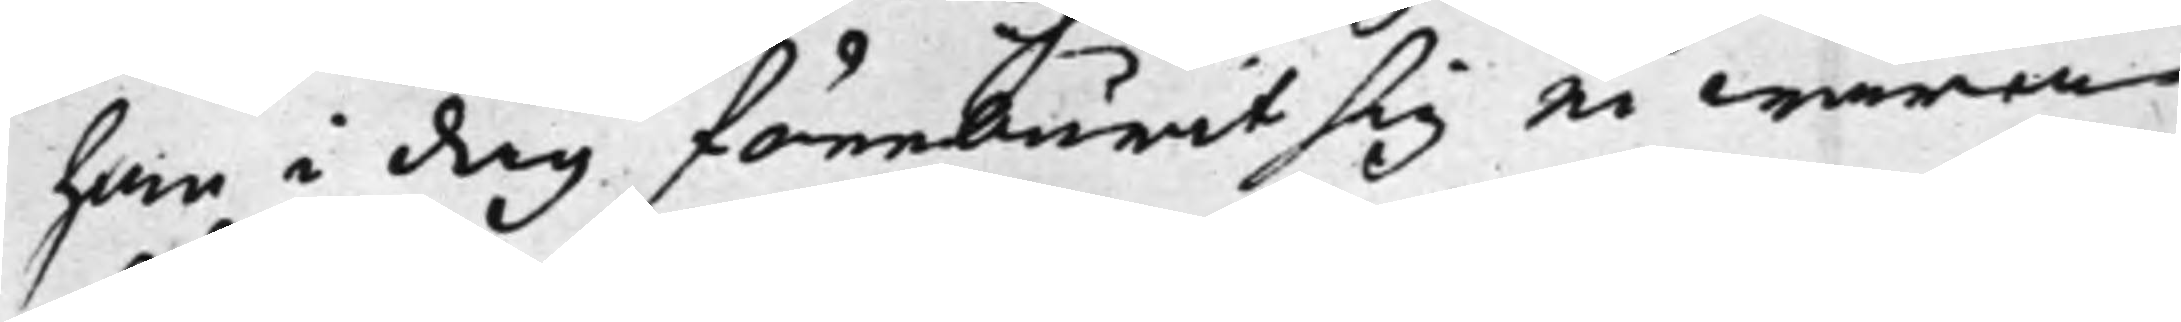han i dag föreburit sig ei wara
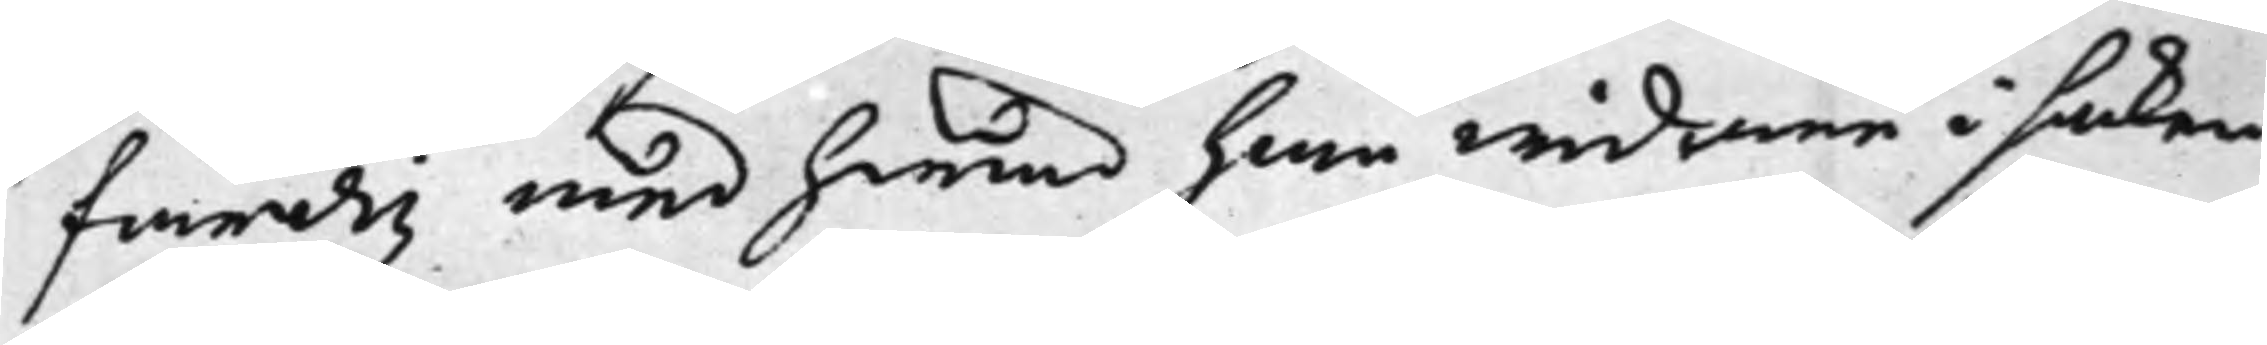färdig med hwad han widare i saken
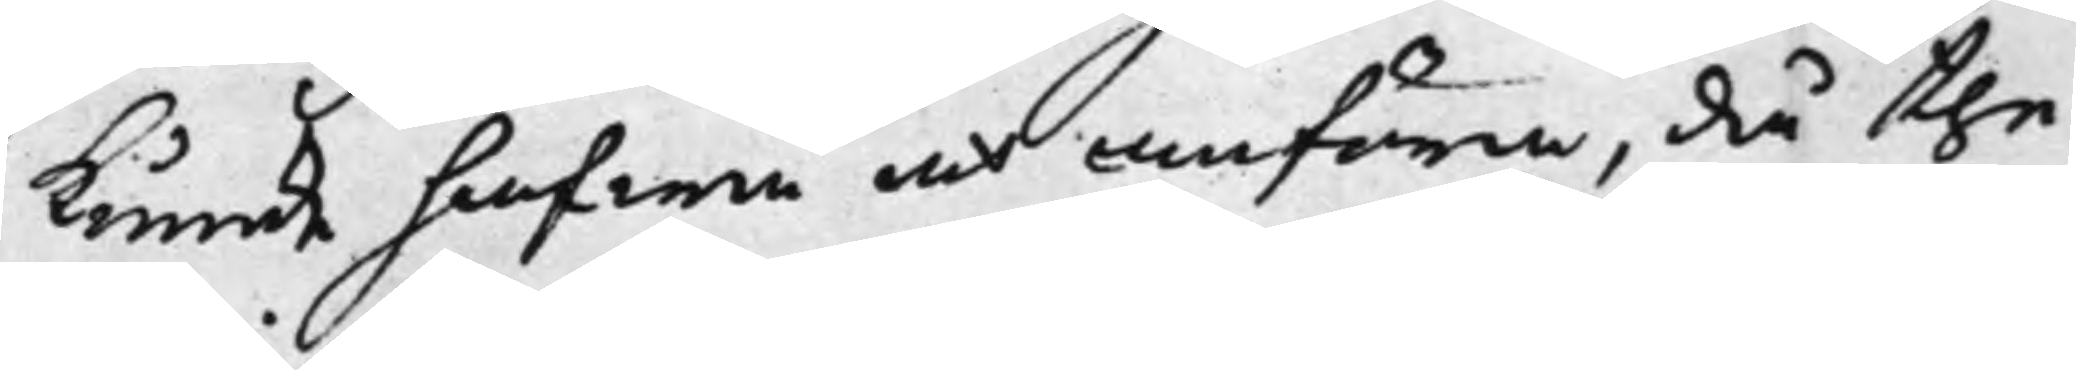kunde hafwa at anföra, då the
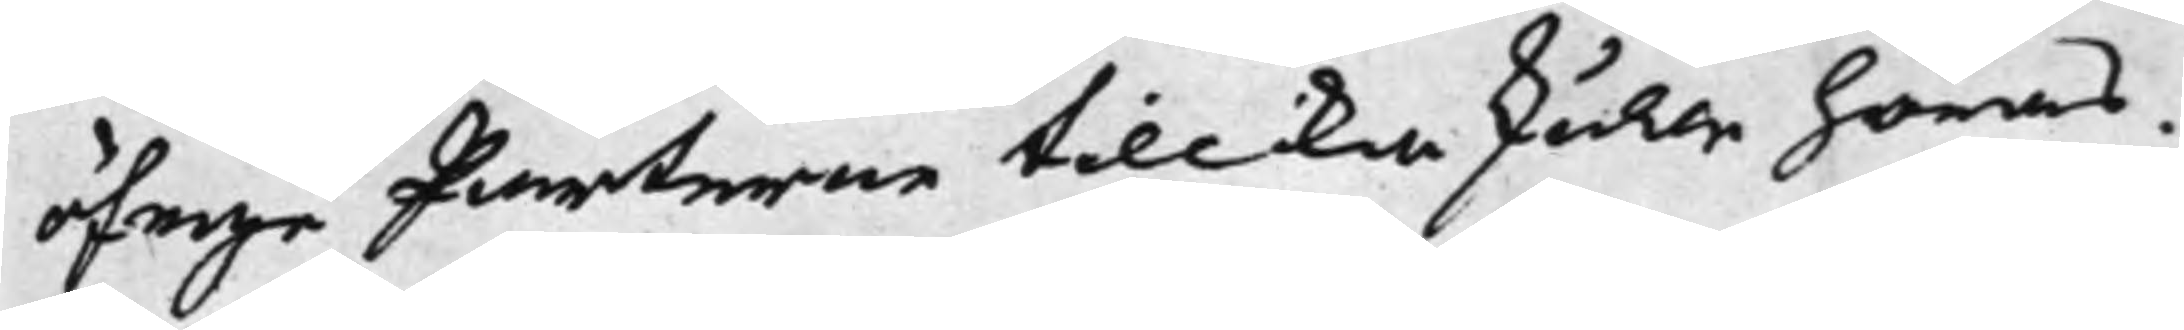öfrige Parterne tillika skulle höras.
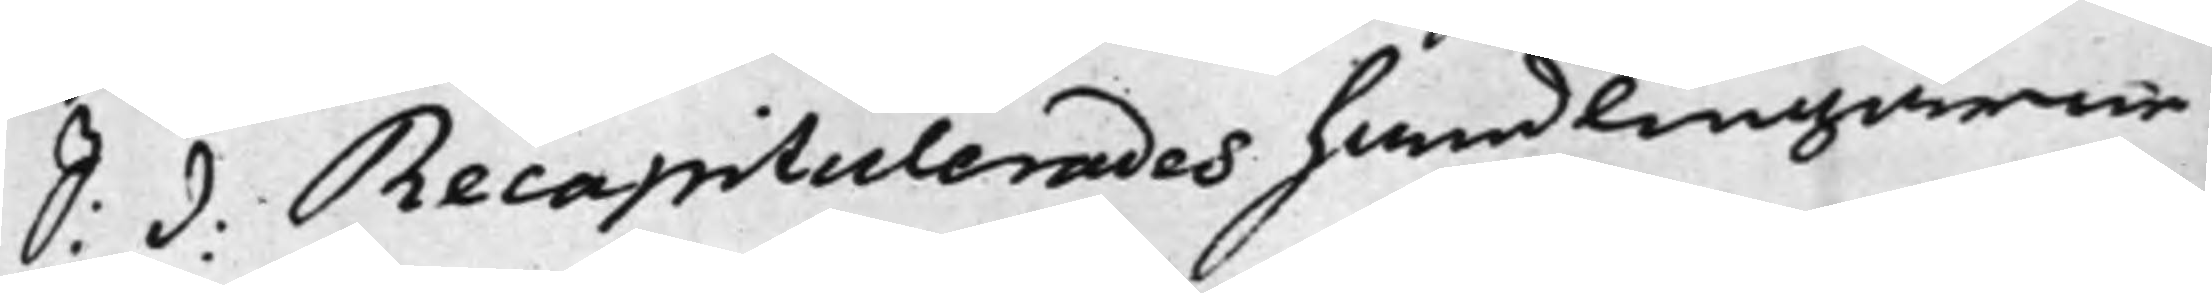S: d: Recapitulerades handlingarne
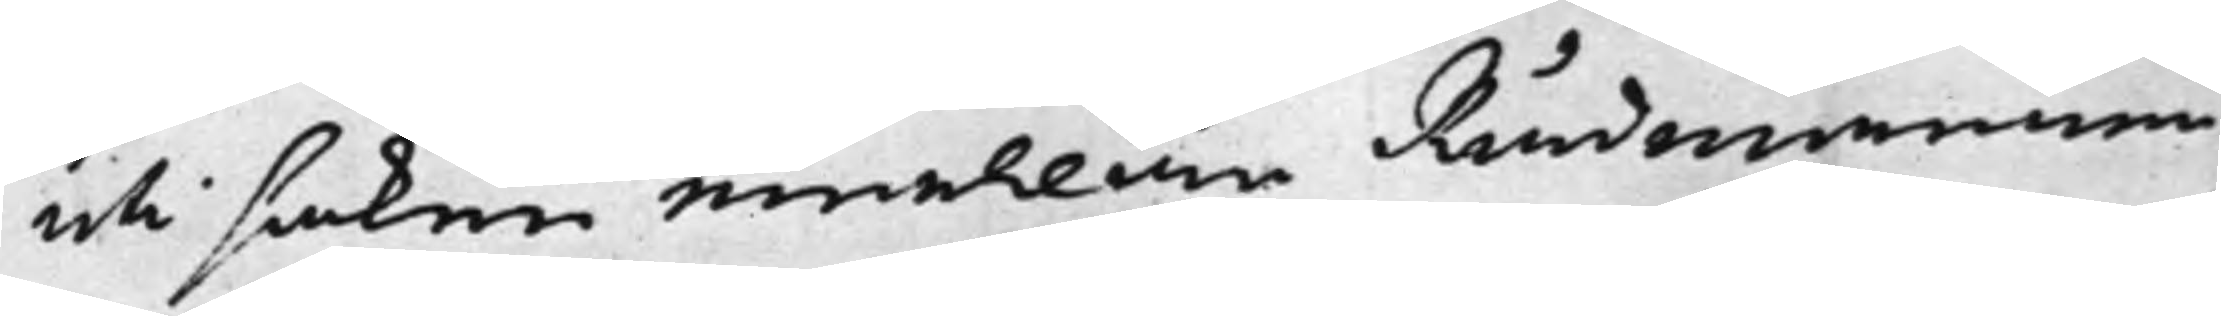uti saken emellan Rådmannen
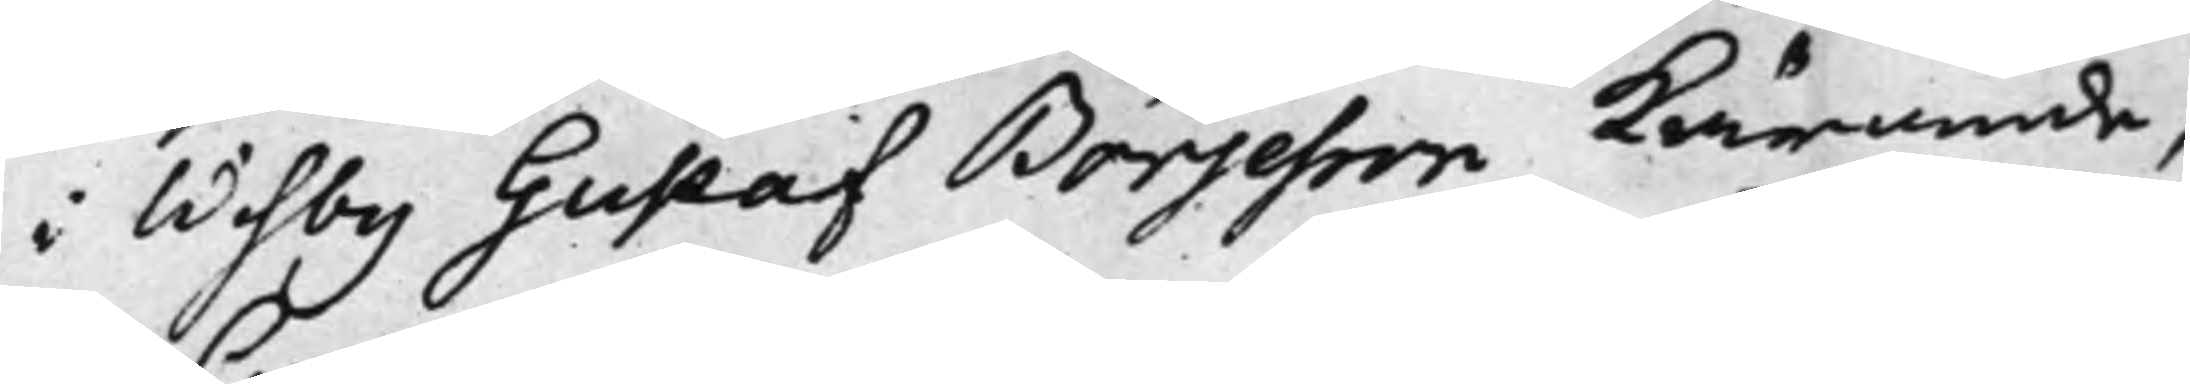i Wisby Gustaf Börjesson Kärande,
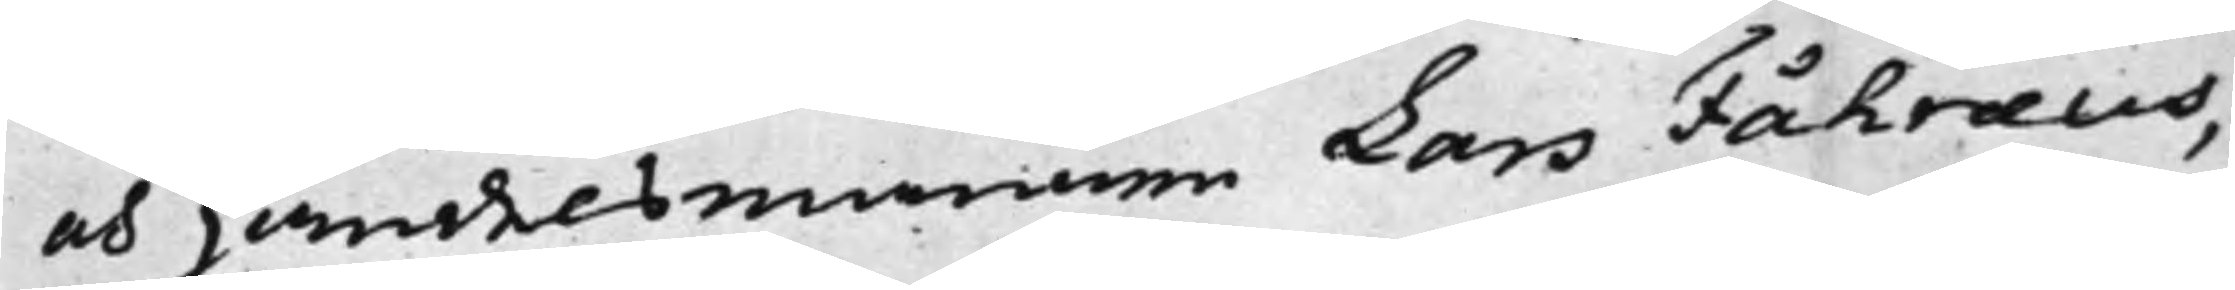och Handelsmannen Lars Fåhræus,
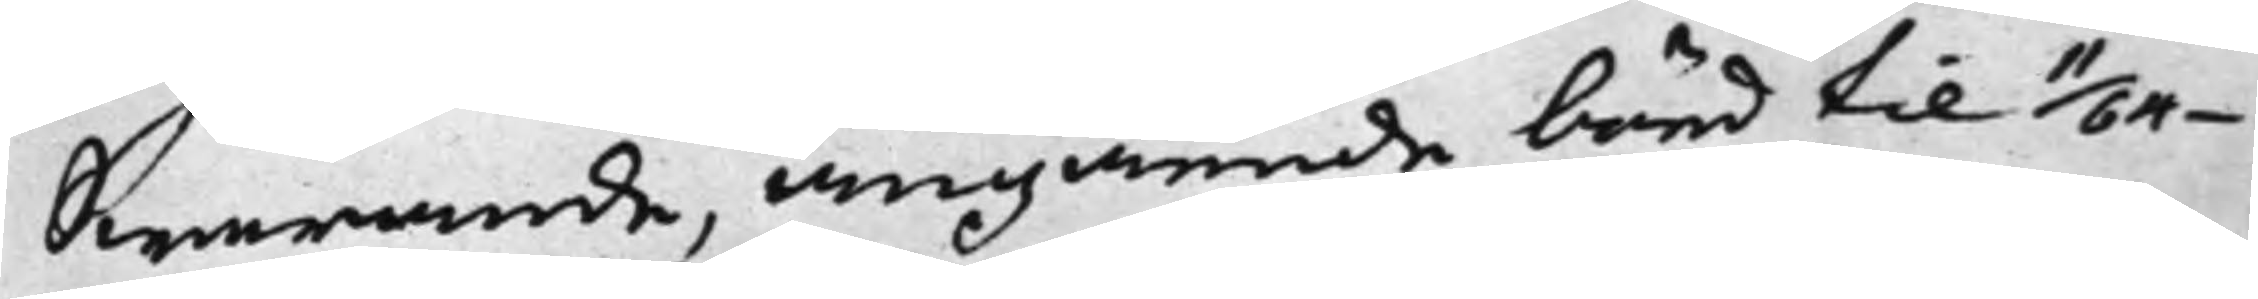Swarande, angående börd til 11/64¬
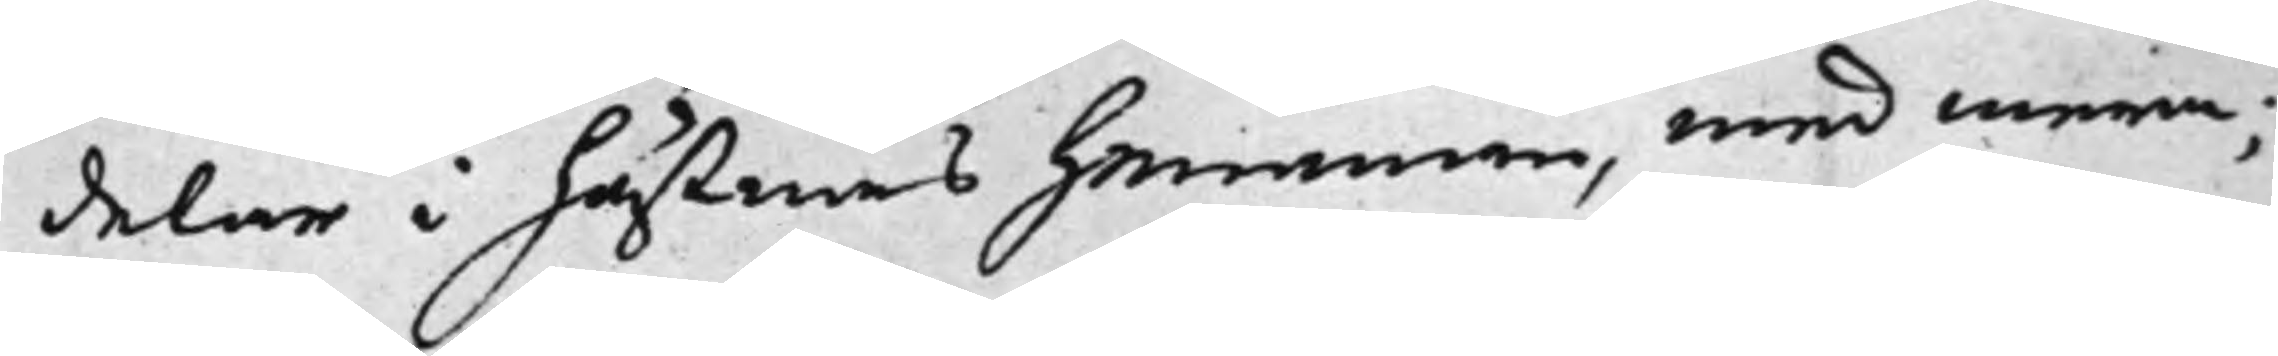delar i hustruns hemman, med mera;
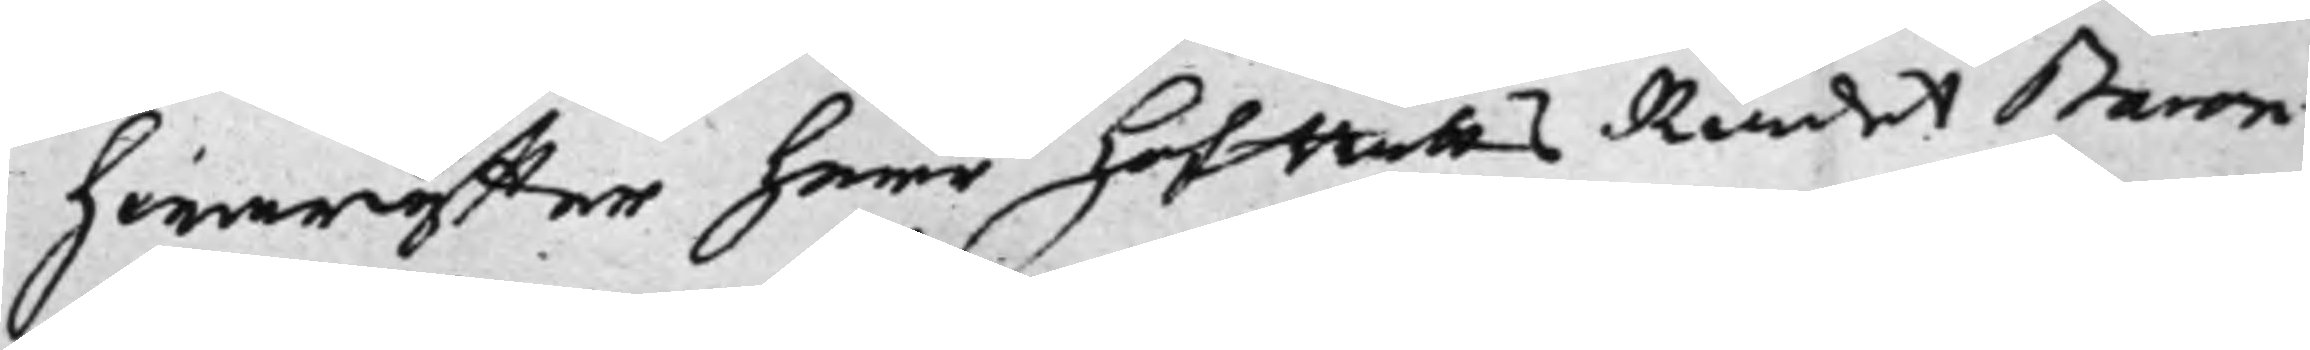hwareffter Herr HofRättsRådet Baron
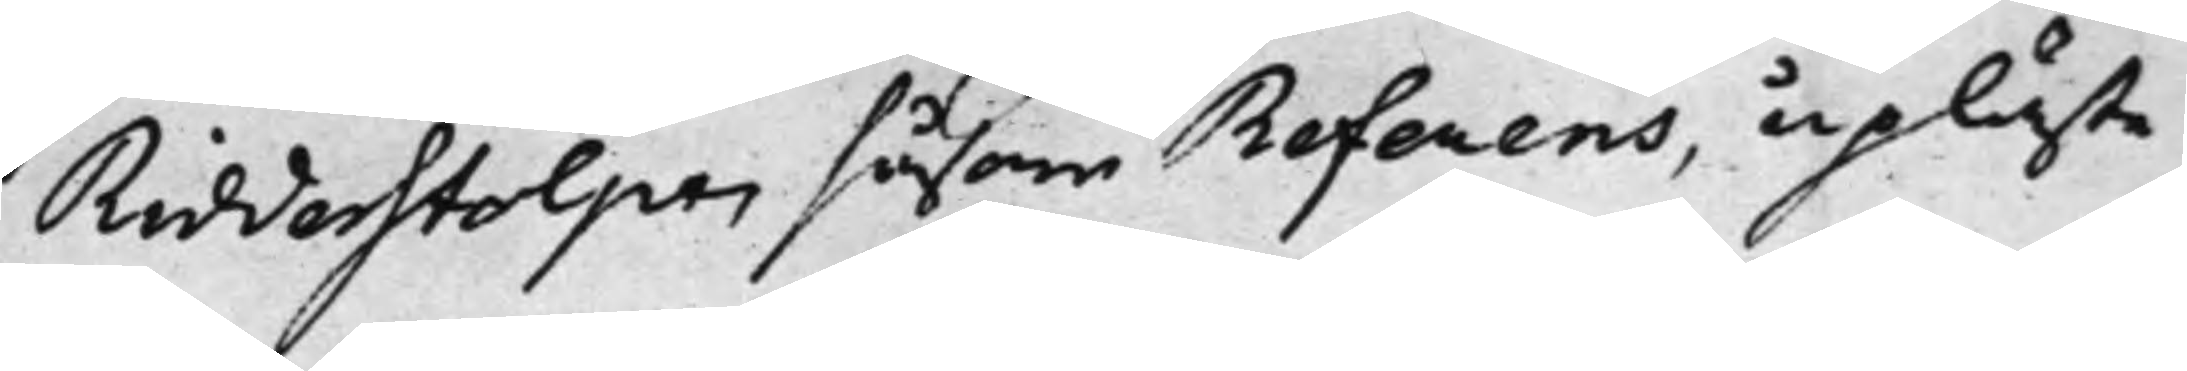Ridderstolpe, såsom Referens, upläste
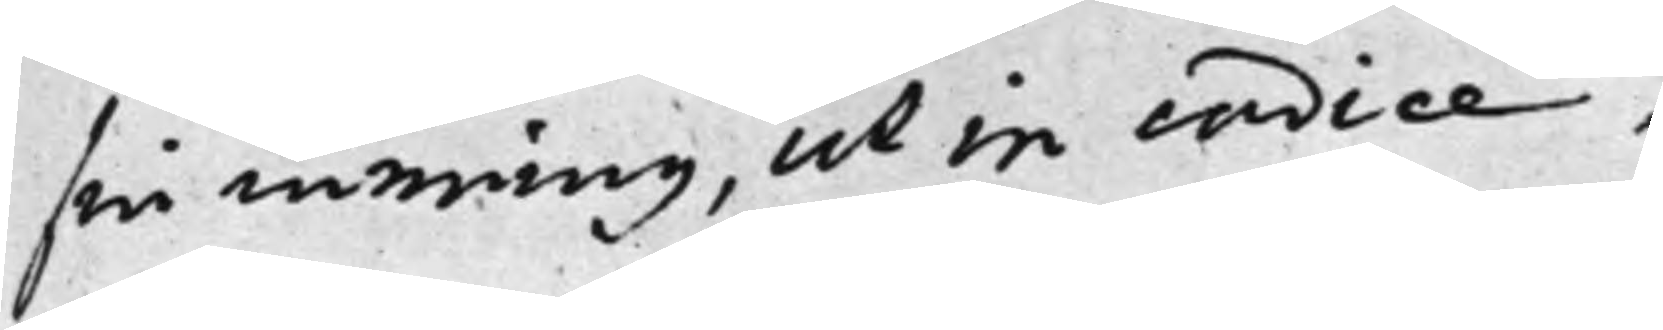sin mening, ut in codice.
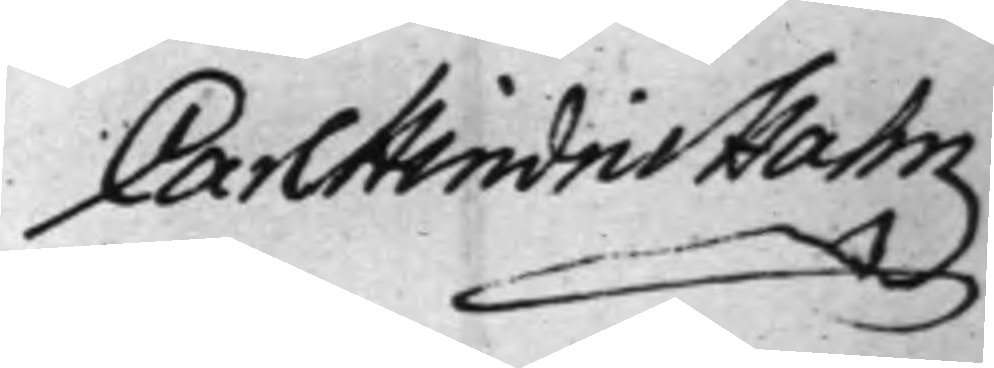Carl Hindric Hahn
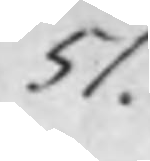51.
